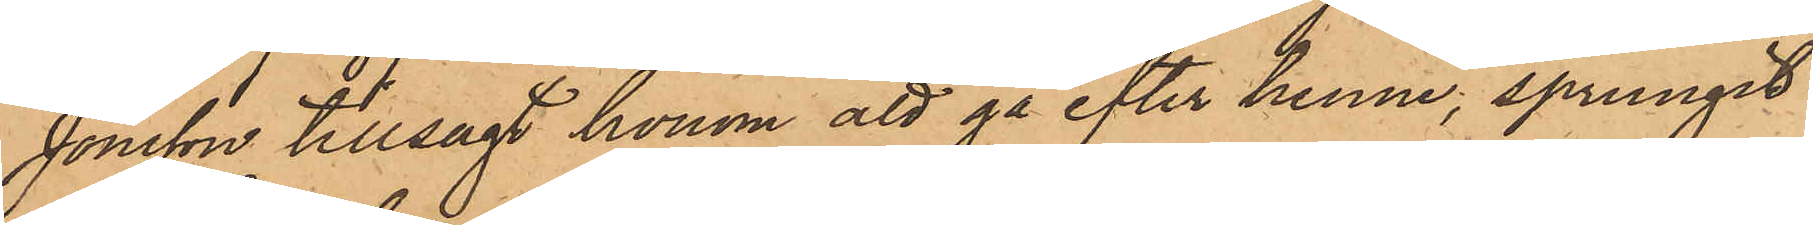Jonsson tillsagt honom att gå efter henne, sprungit
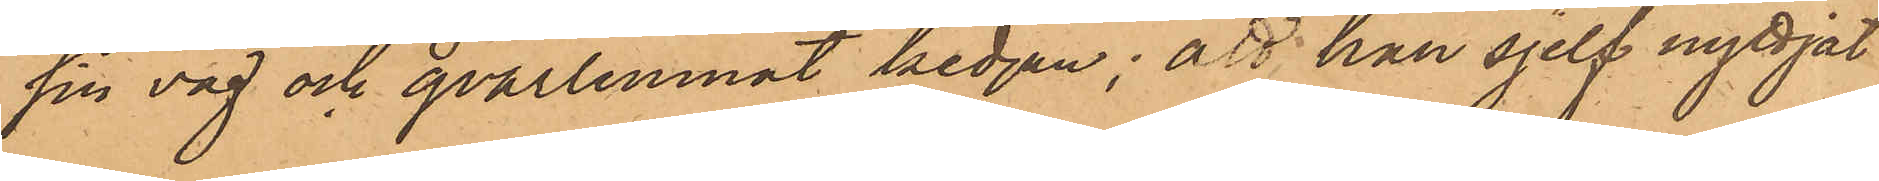sin väg och qvarlemnat kedjan; att han sjelf nyttjat
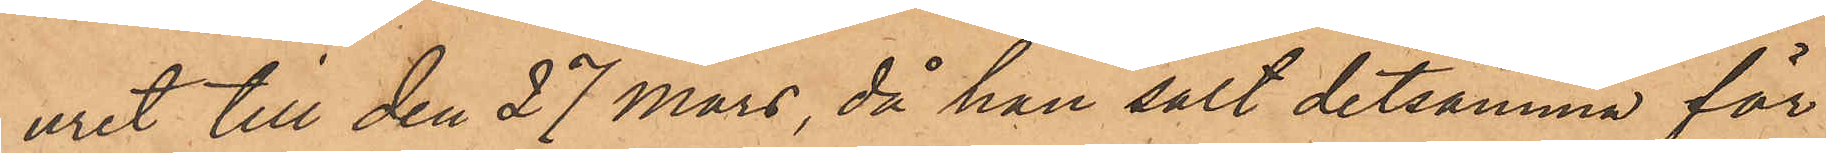uret till den 27 Mars, då han sålt detsamma för
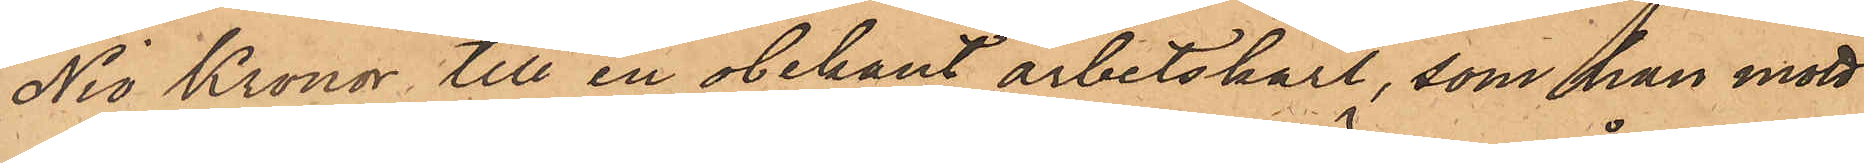Nio Kronor till en obekant arbetskarl, som han mött
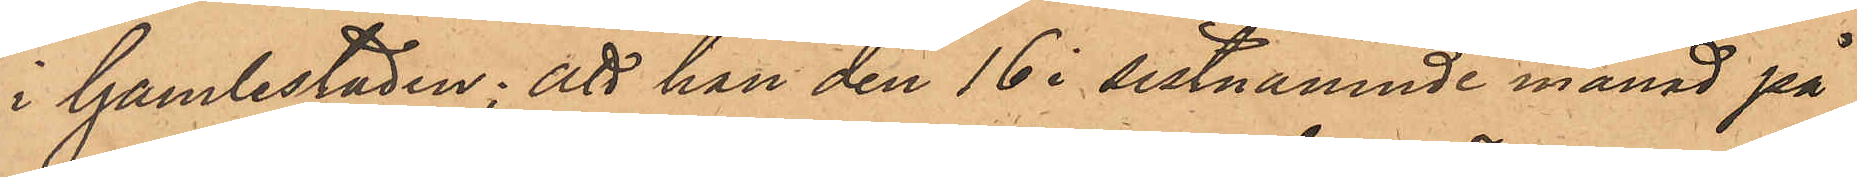i Gamlestaden; att han den 16 i sistnämnde månad på
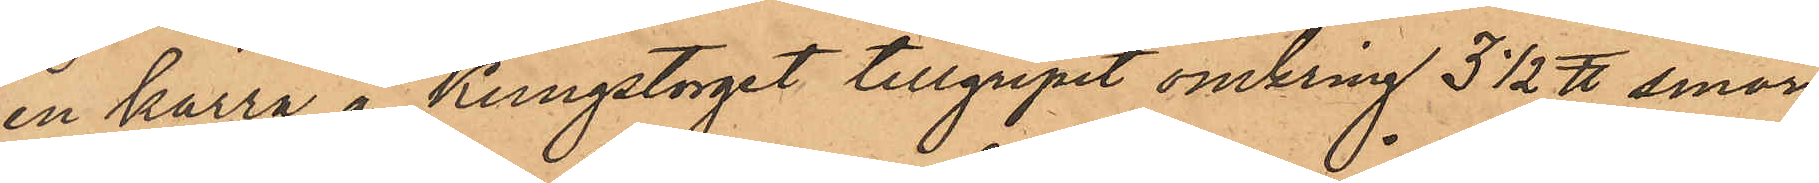en kärra å Kungstorget tillgripit omkring 3 1/2 ℔ smör
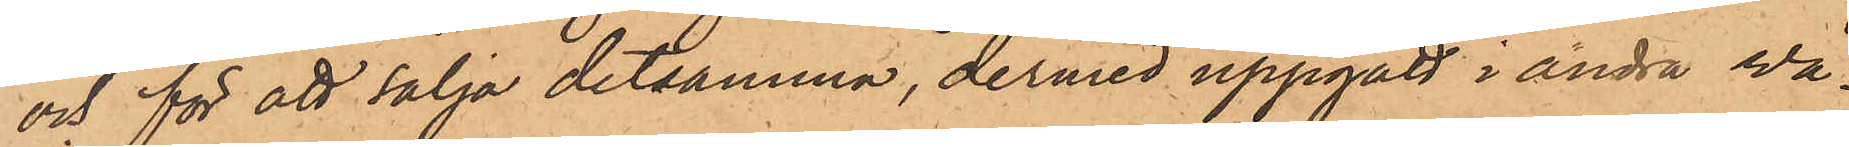och för att sälja detsamma, dermed uppgått i andra vå¬
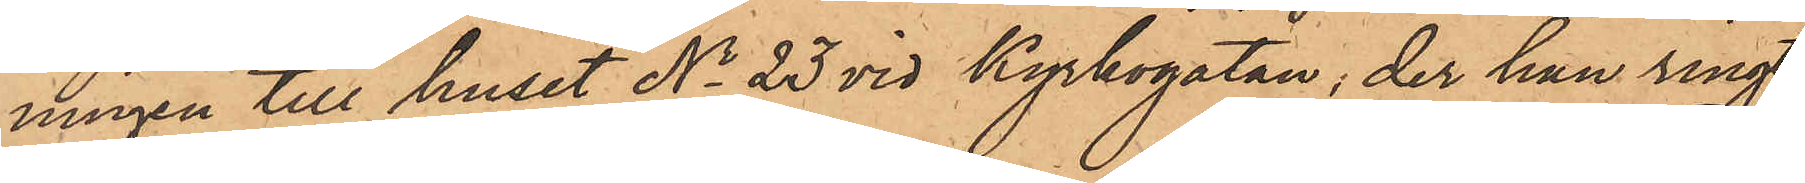ningen till huset No 23 vid Kyrkogatan, der han ring
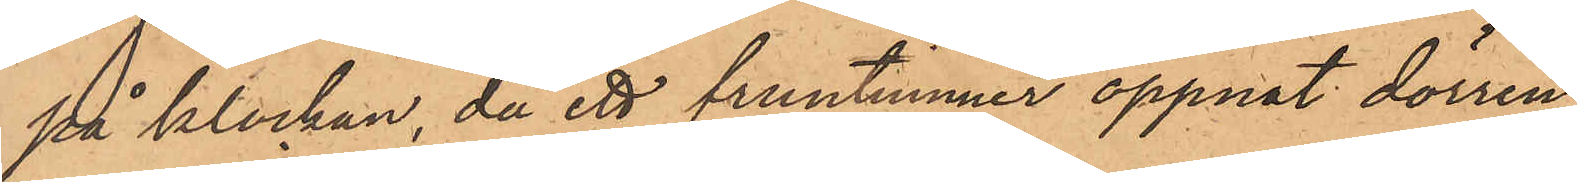på klockan, då ett fruntimmer öppnat dörren,
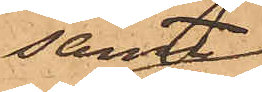samt
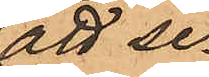att se¬
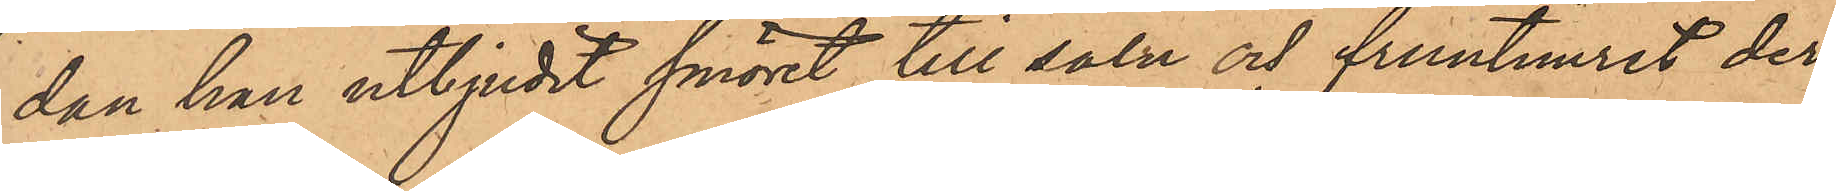dan han utbjudit smöret till salu och fruntimret der¬
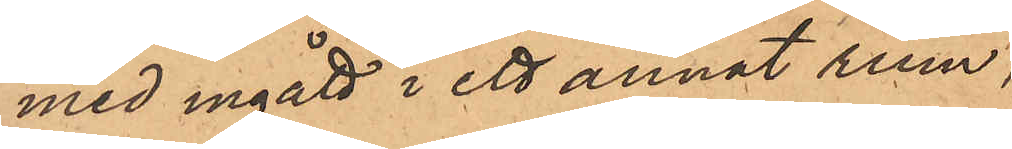med ingått i ett annat rum,
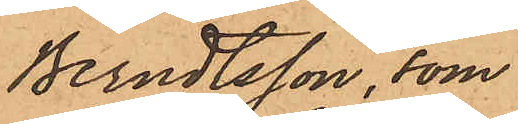Berndtsson, som
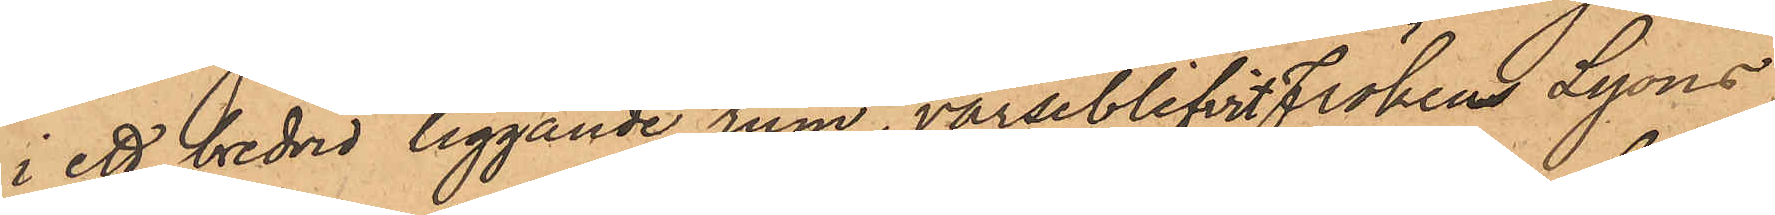i ett bredvid liggande rum, varseblifvit frökens Lyons
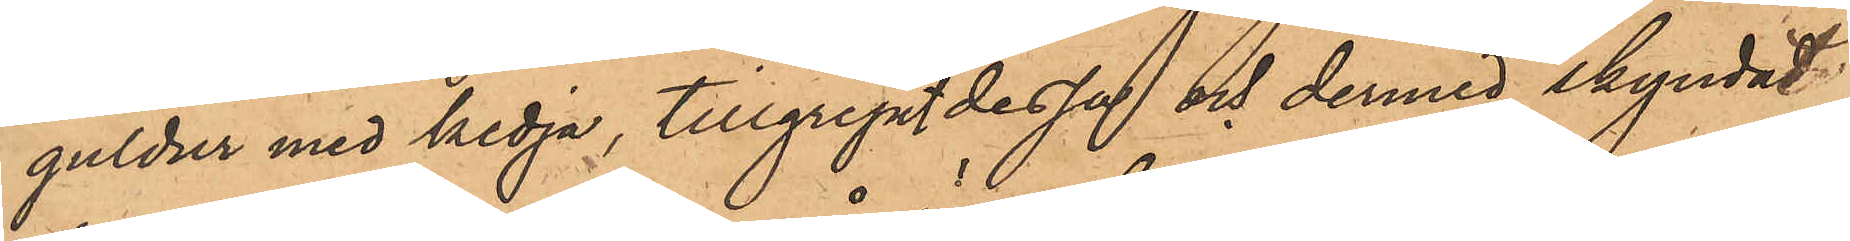guldur med kedja, tillgripit dessa och dermed skyndat
